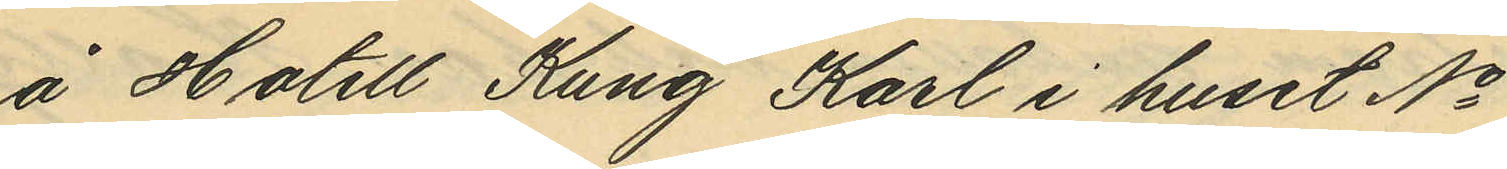å Hotell Kung Karl i huset No
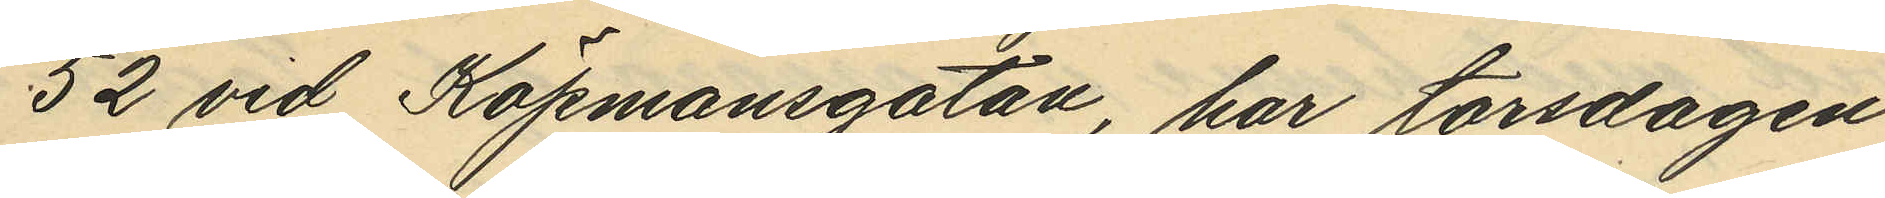52 vid Köpmansgatan, har torsdagen
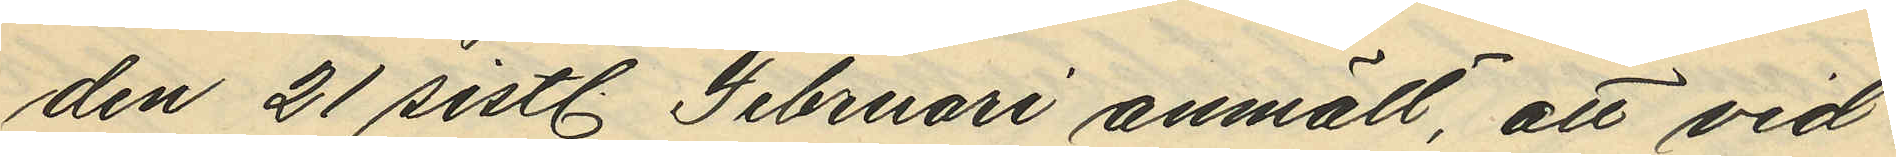den 21 sistl. Februari anmält, att vid
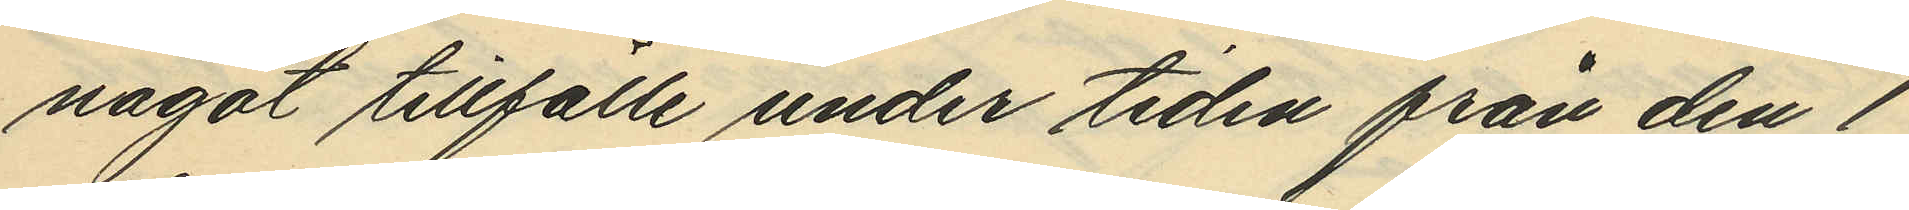något tillfälle under tiden från den 1
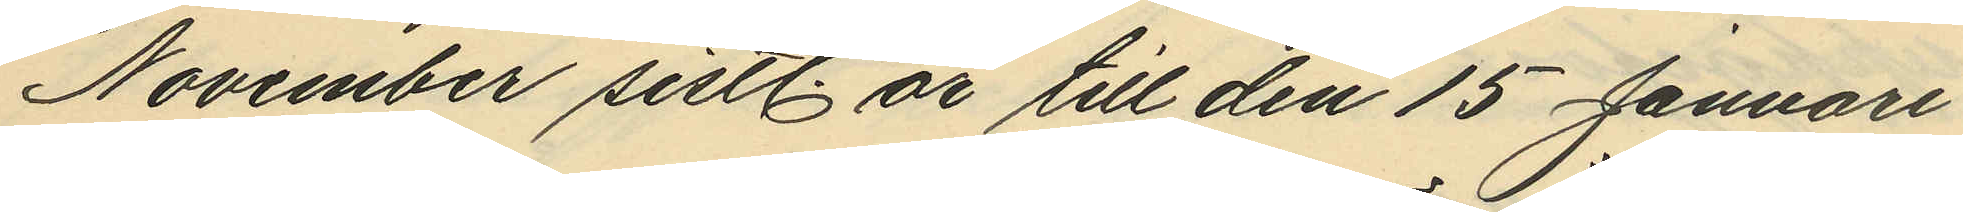November sistl. år till den 15 Januari
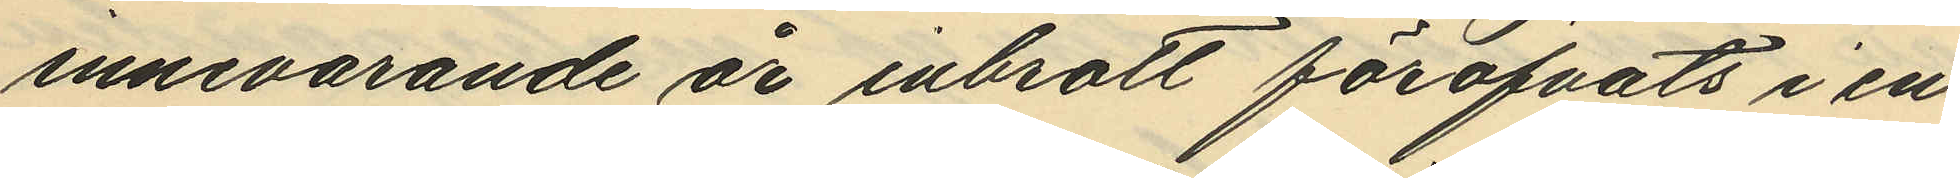innevarande år inbrott föröfvats i en
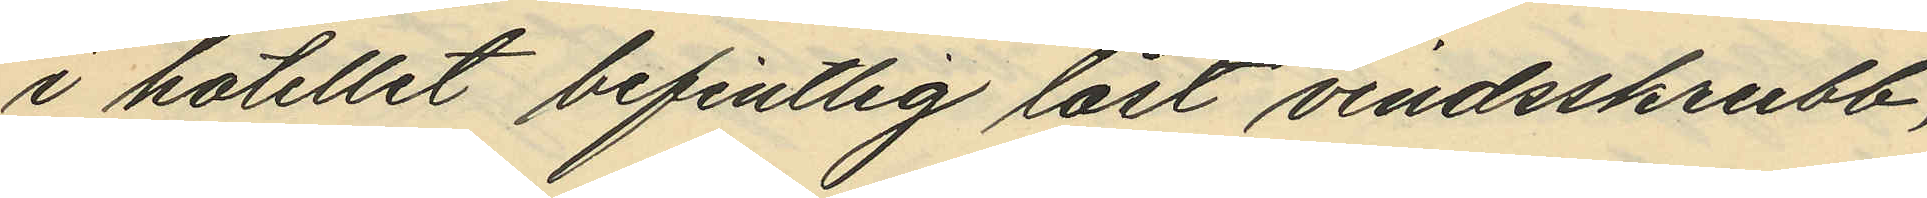i hotellet befintlig låst vindsskrubb,
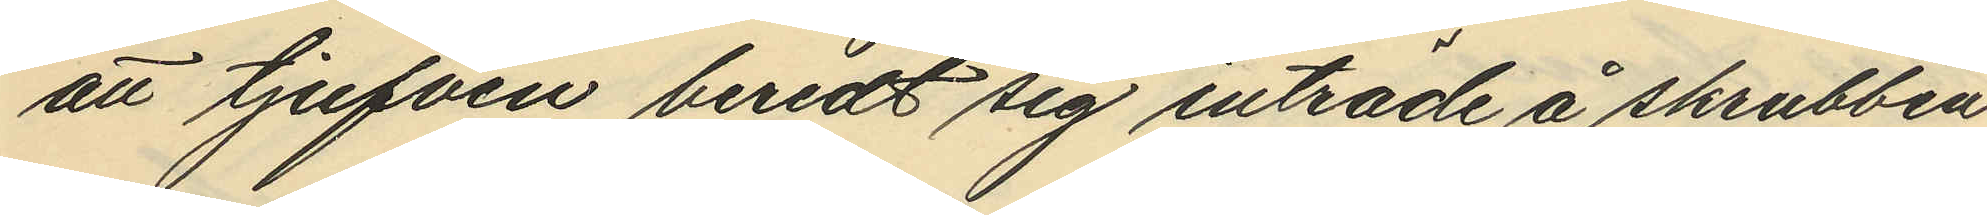att tjufven beredt sig inträde å skrubben
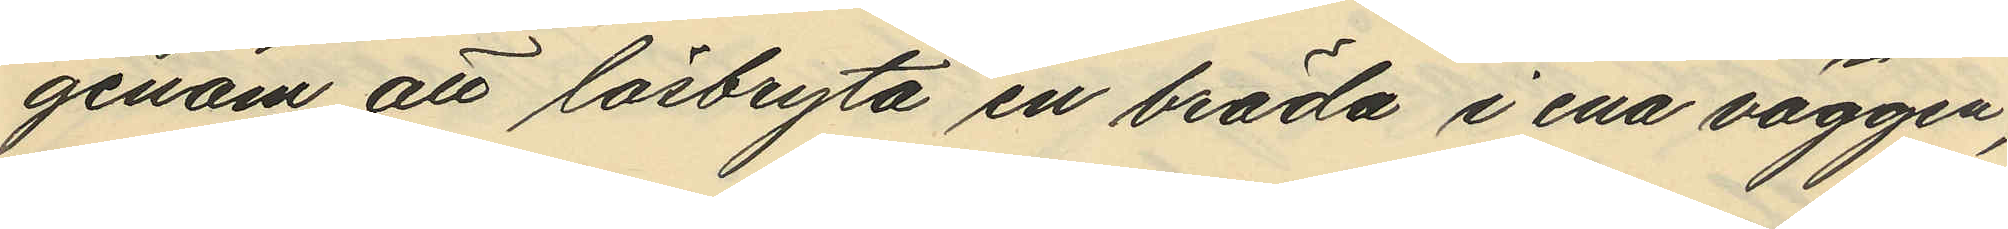genom att lösbryta en bräda i ena väggen,
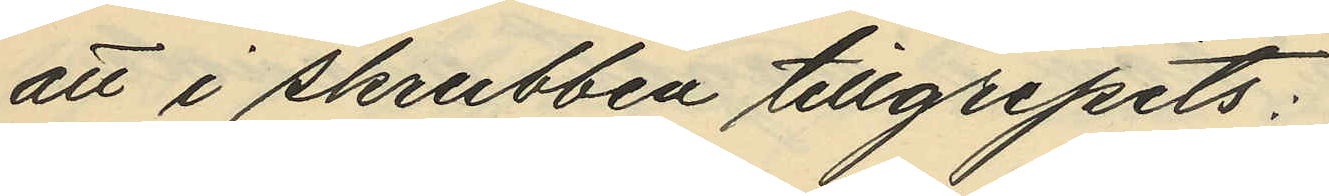att i skrubben tillgripits:
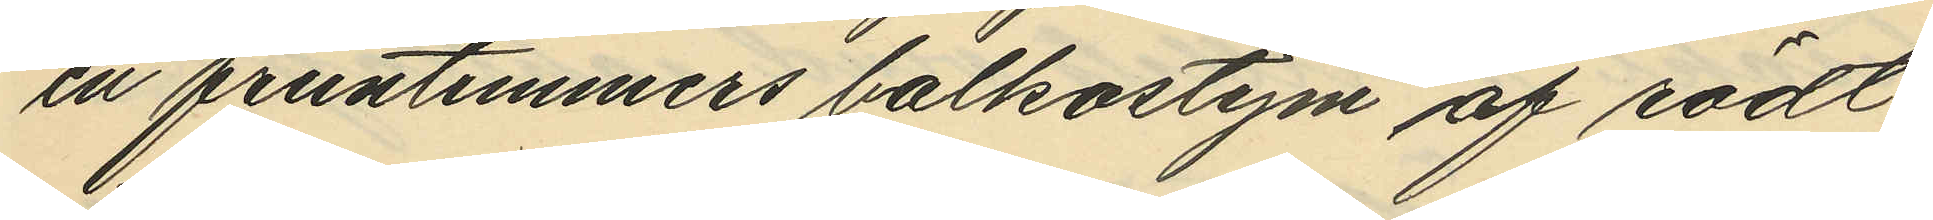en fruntimmers balkostym af rödt
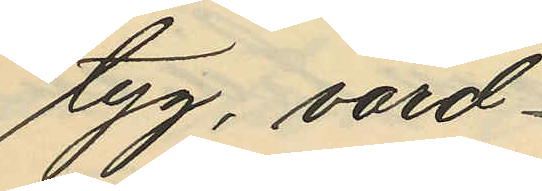tyg, värd
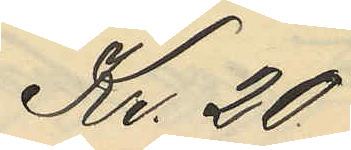Kr. 20
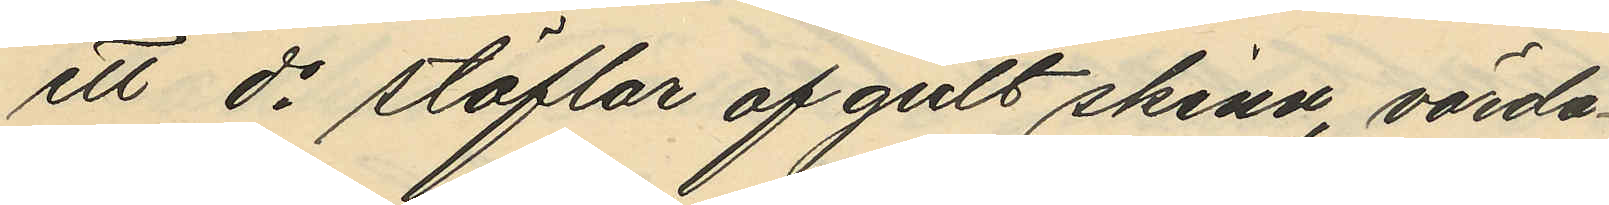ett do stöflar af gult skinn, värda
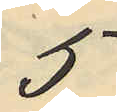5
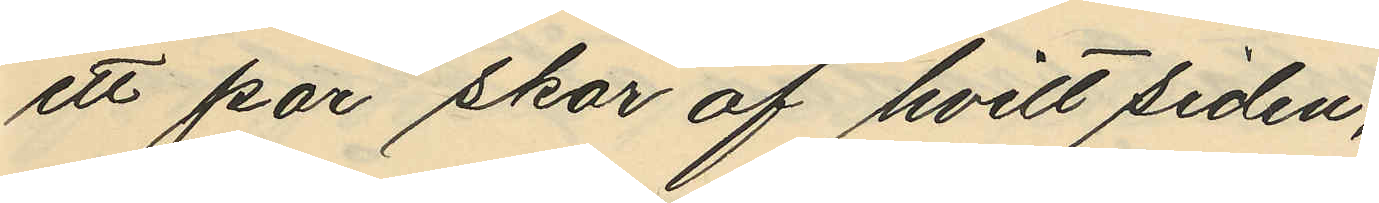ett par skor af hvitt siden,
